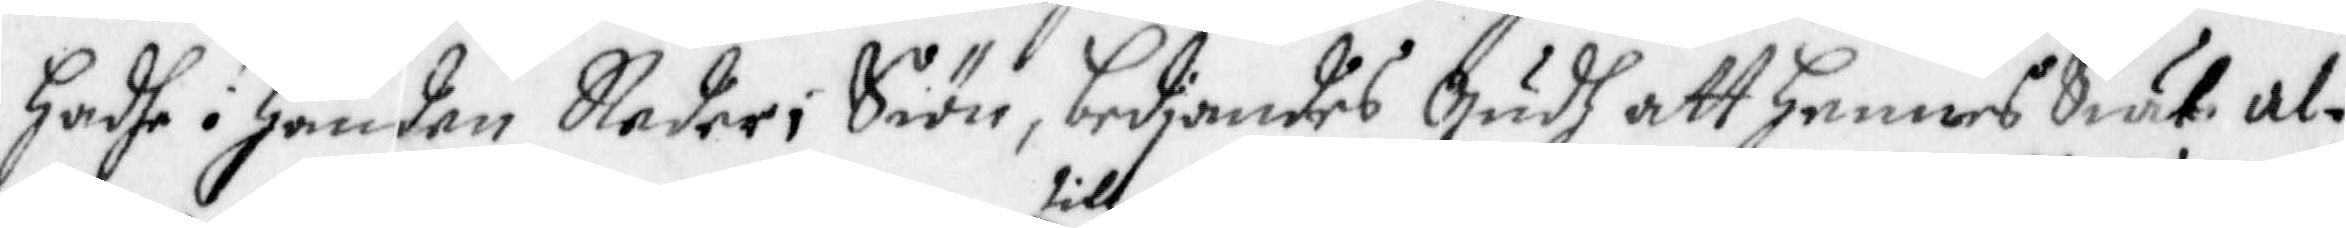hadhe i handen Neder i Siön, bediandes Gudh att hennes Siäl al¬
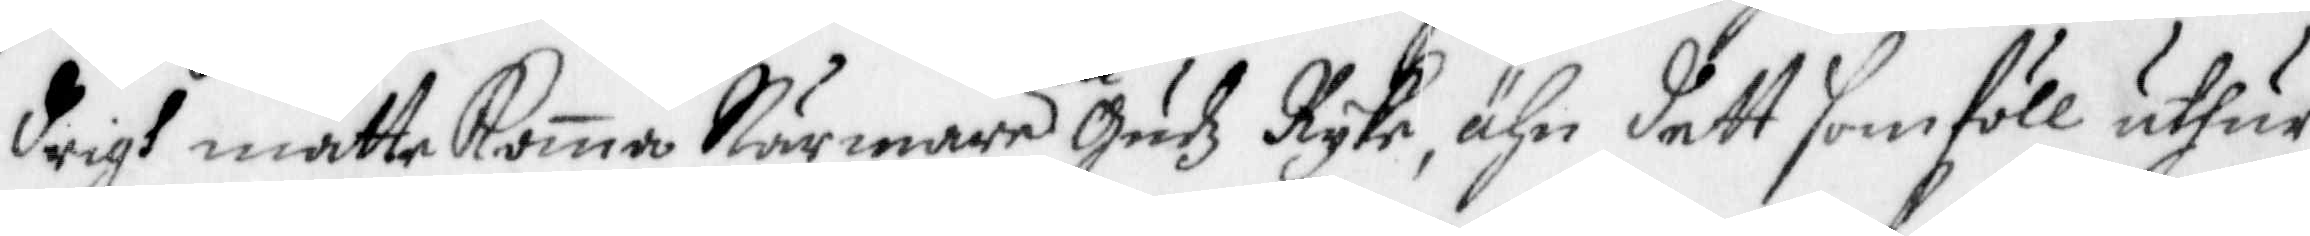drigh måtte komma Närmare till Gudz Ryke, ähn dett som föll uthur
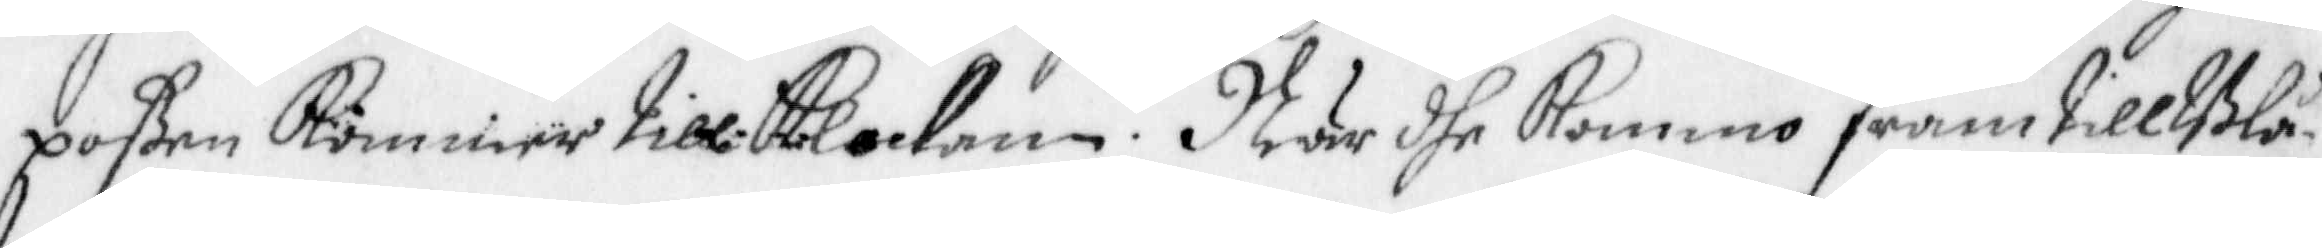poßen kommer till Klockan. När dhe kommo fram till Blå¬
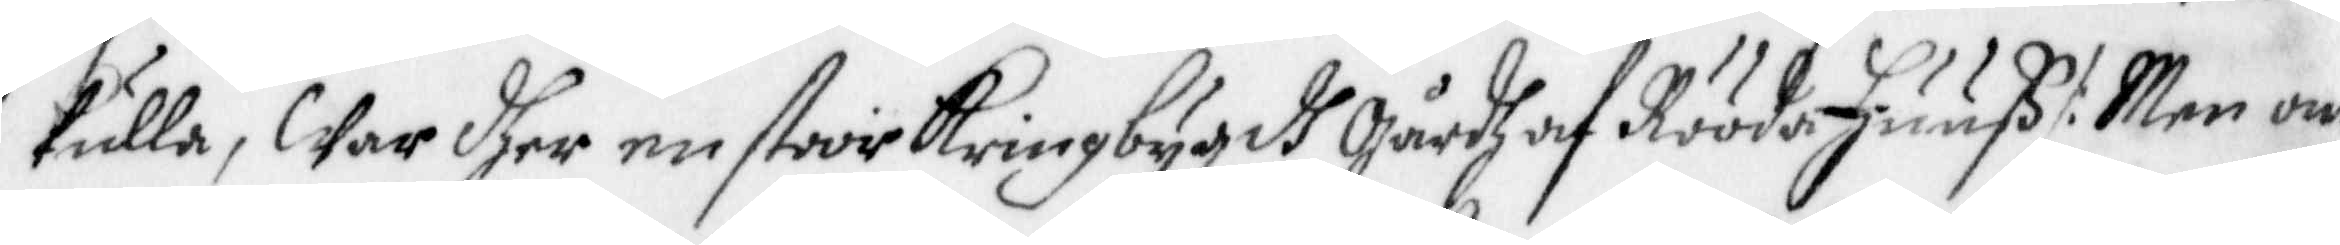kulla, War dher en stoor Kringbygdh gårdh af Rööda Huuß /: Men om
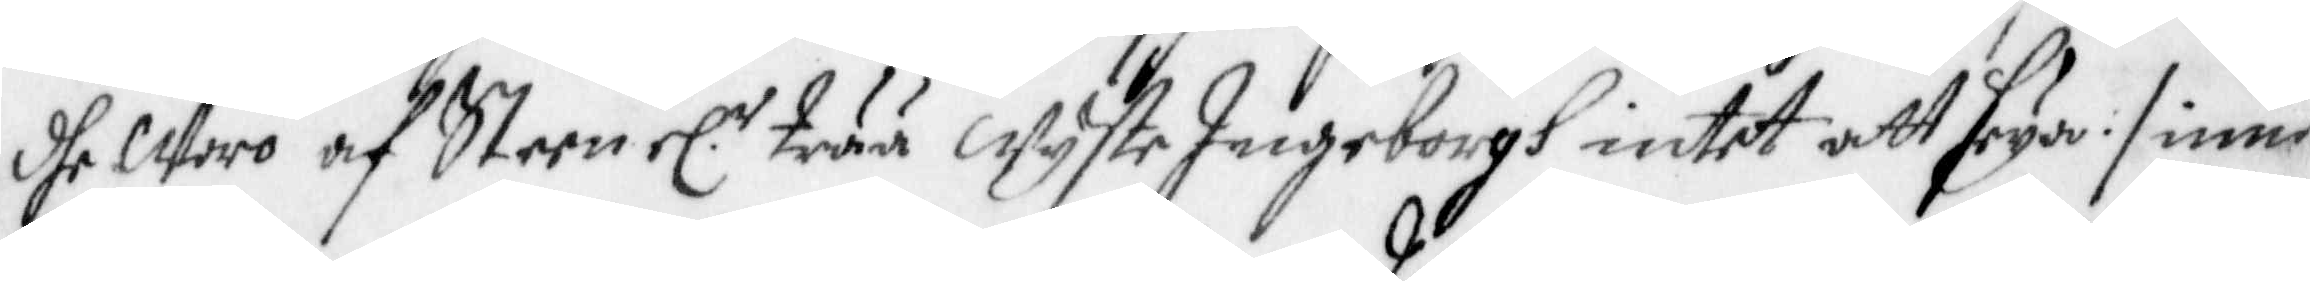dhe Woro af Steen el. trää Wyste Ingeborgh intet att seya :/ inne
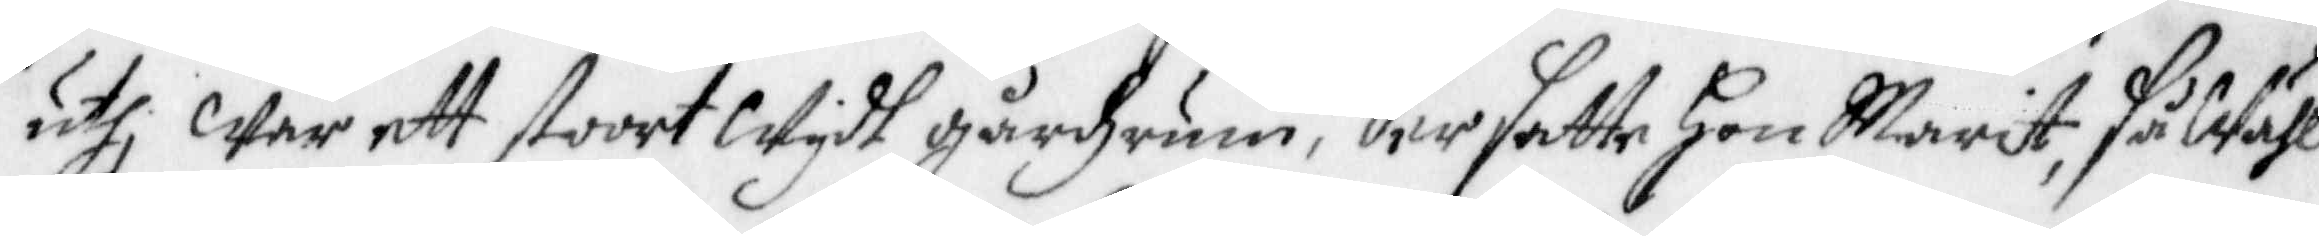uthi war ett stoort Wydh gårdzrum, der satte Hon Marit, så Wähl
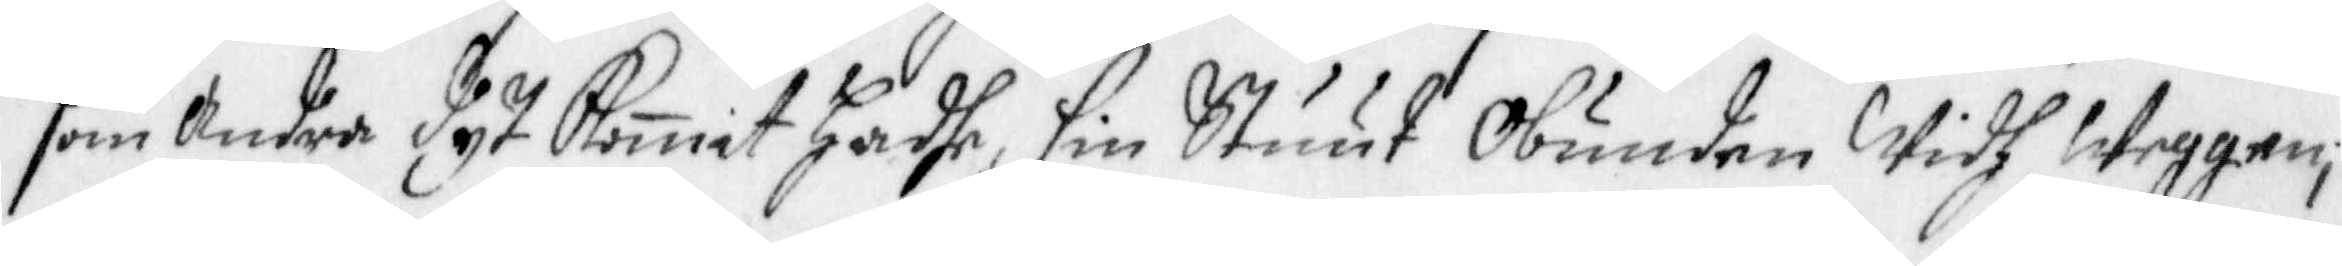som andra dyt komit hadhe, sin Stuut Obunden Widh Weggen,
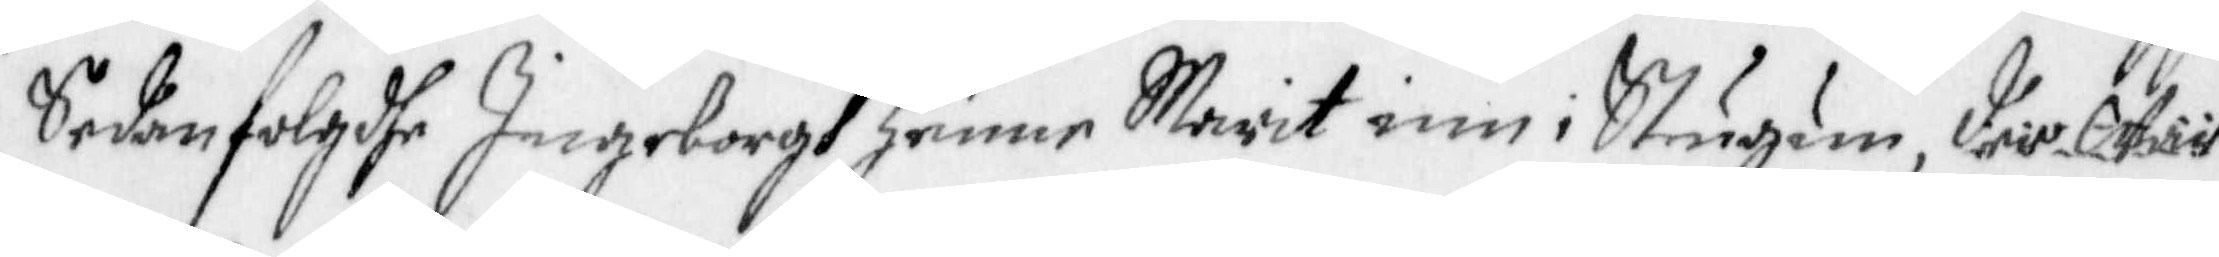Sedan folgdhe Ingeborgh henne Marit inn i Stugun, der War
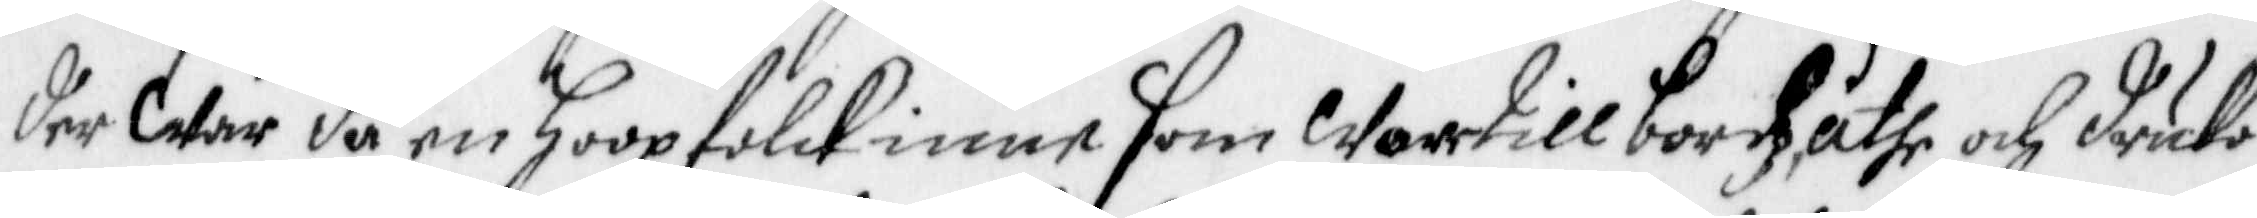der War då en hoop folck inne som Wore till bordz, äthe och druko
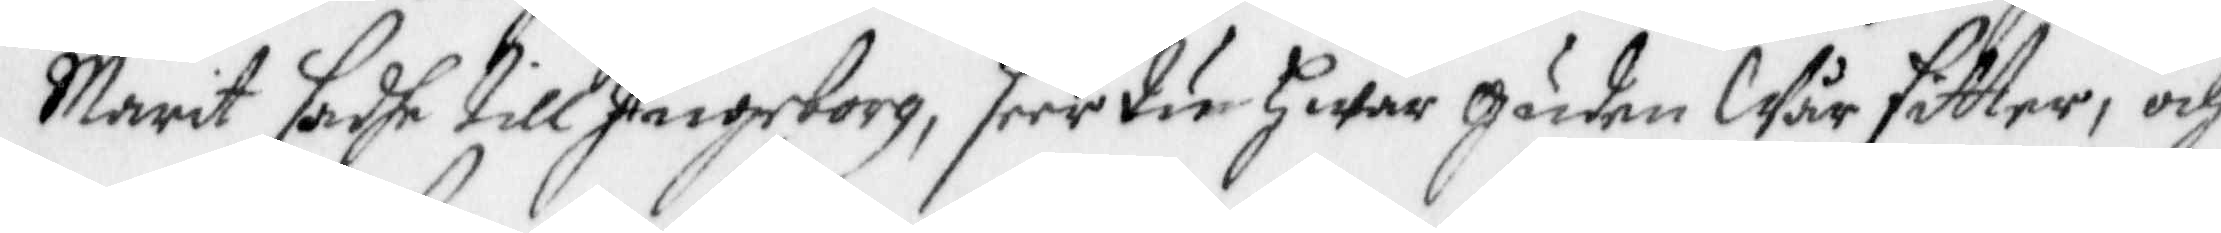Marit sadhe till Ingeborg, seer den hwar guden Wår sitter, och
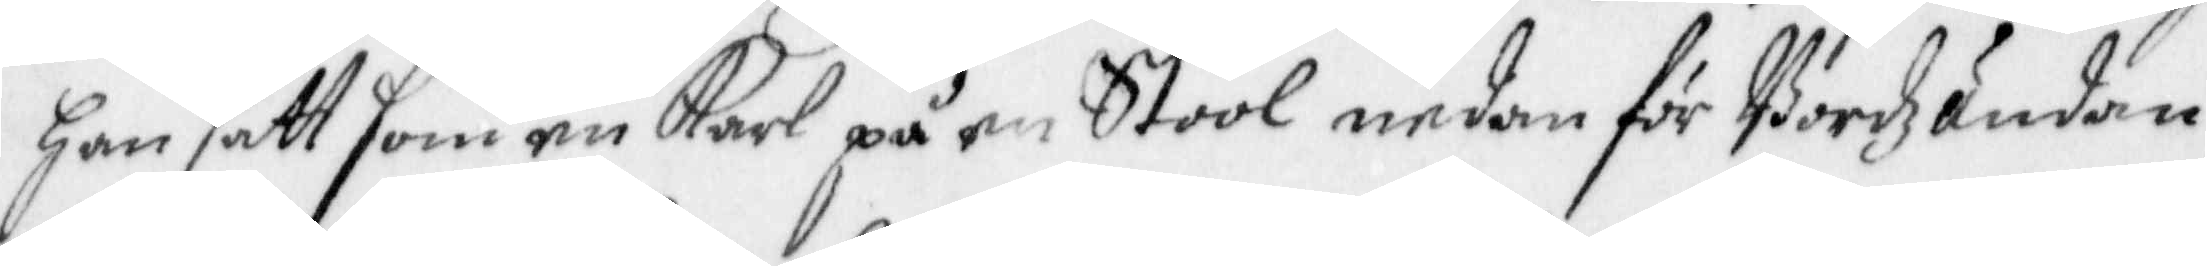han sätt som en Karl, på en Stool nedan för Bordz ändan,
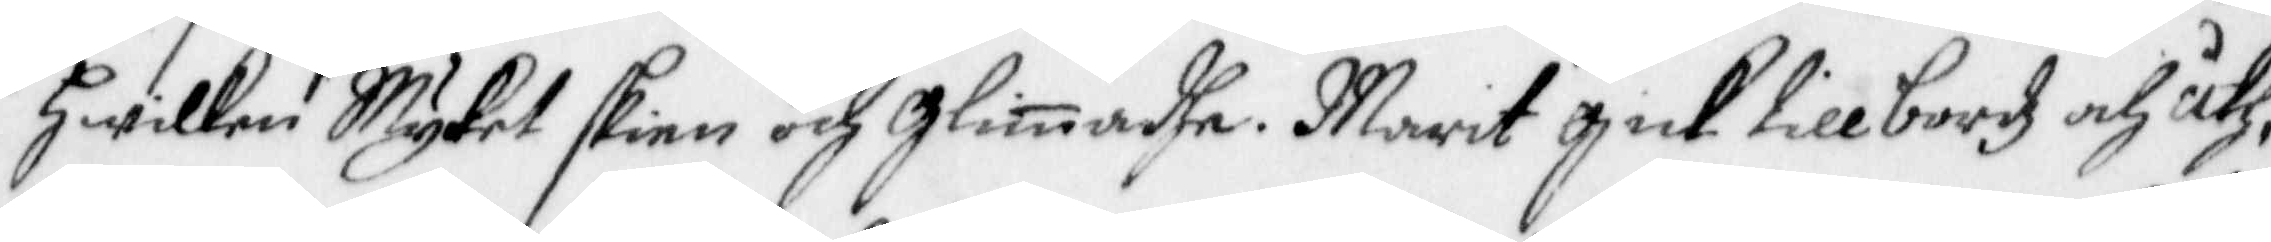hwilken Myket skien och glimadhe. Marit gick till bordz och åth,
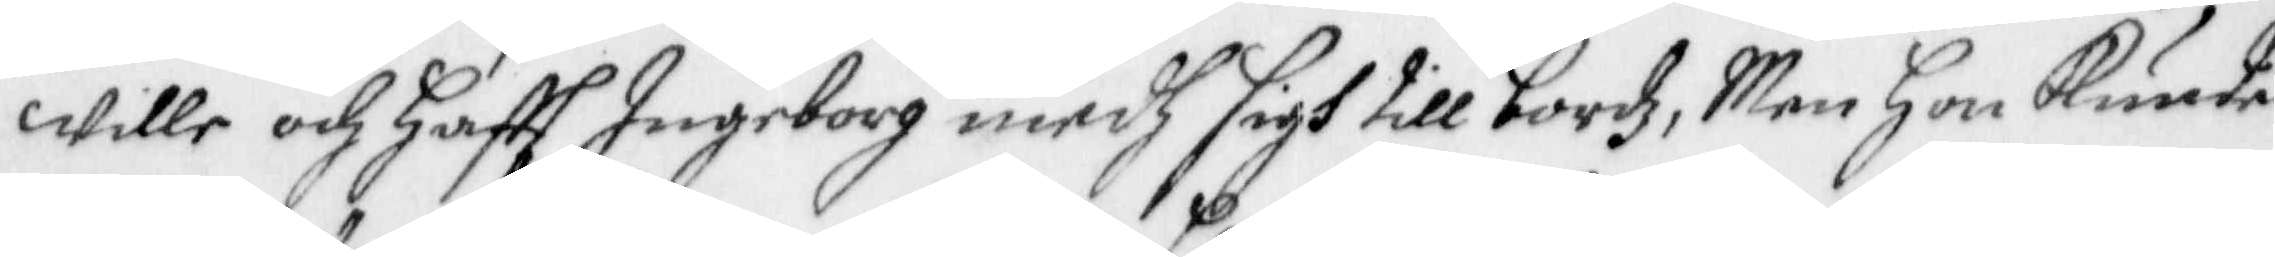wille och Haftt Ingeborg medh sigh till bordz, Men Hon Kunde
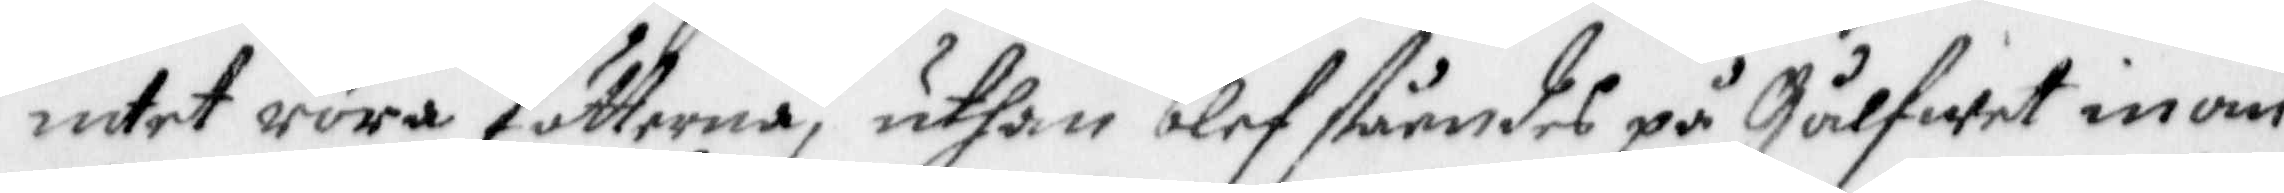intet röra fötterna, uthan blef ståendes på Gålfwet inom
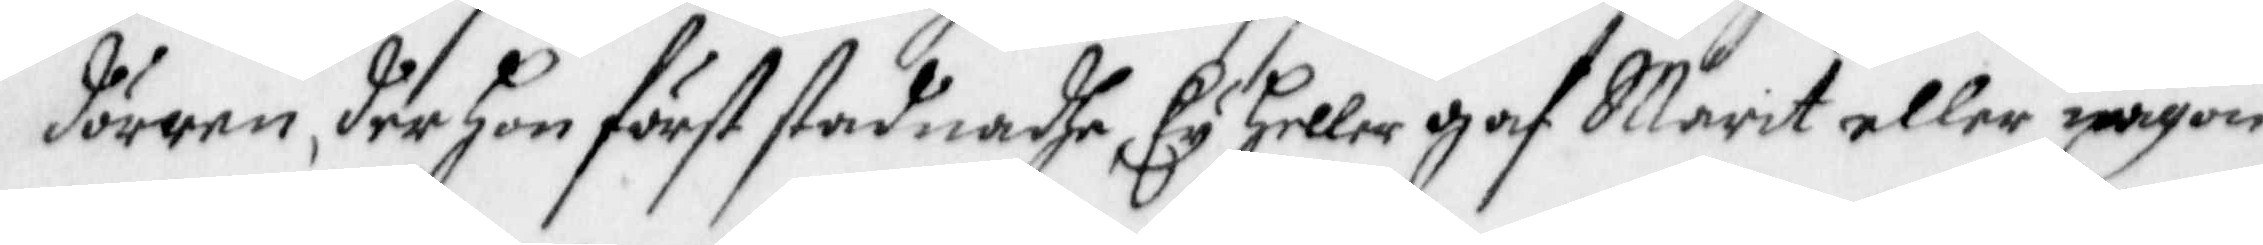dörren, der hon först stadnadhe, Ey heller gaf Marit eller någon
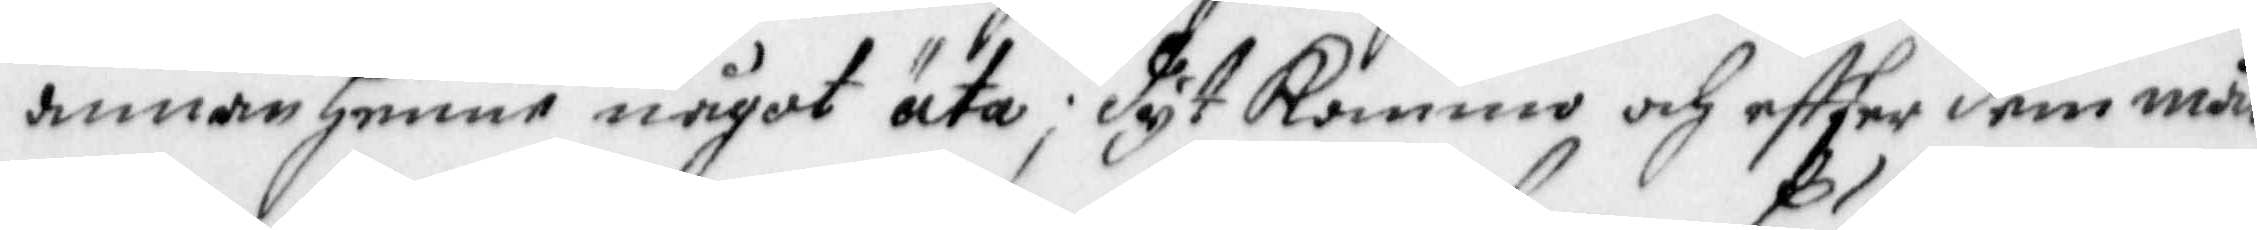annan henne något äta, dyt Kommo och effter dem mån¬
